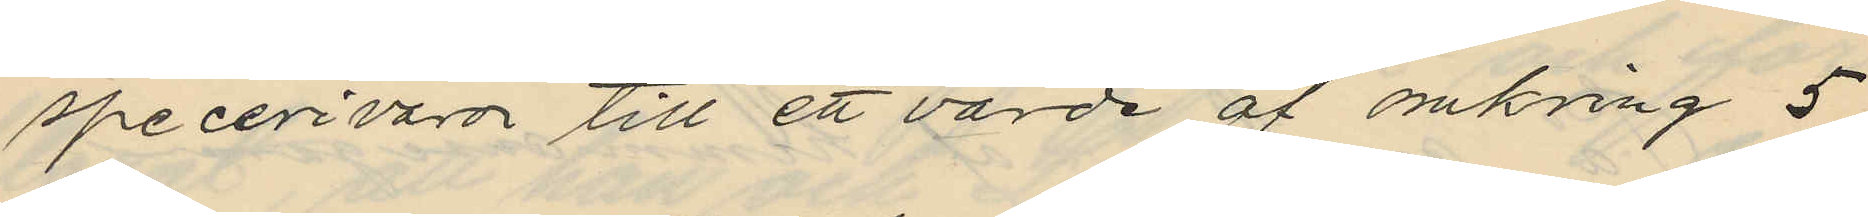specerivaror till ett värde af omkring 5
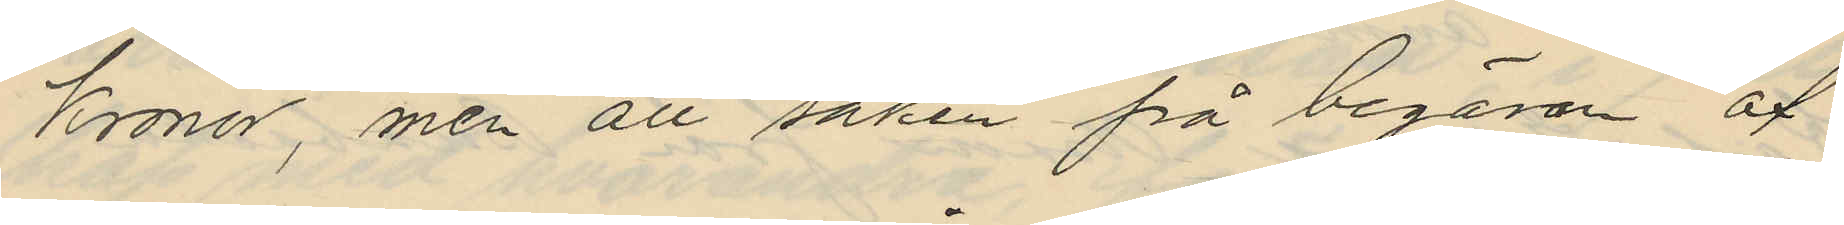Kronor, men att saken på begäran af
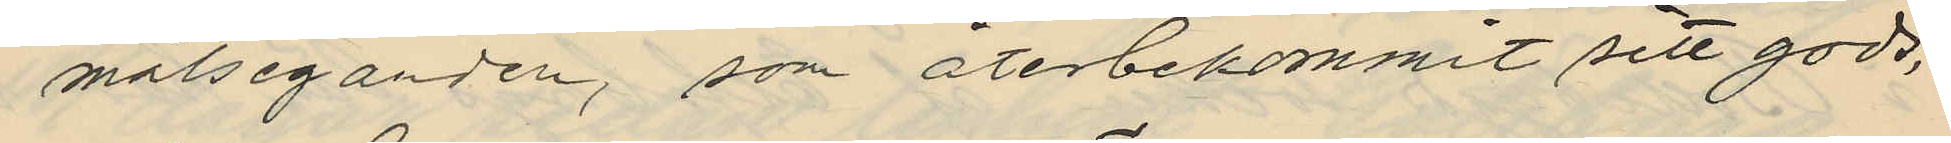målseganden, som återbekommit sitt gods,
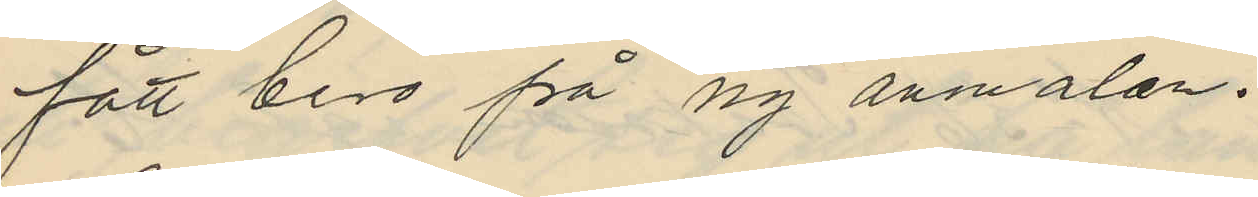fått bero på ny anmälan.
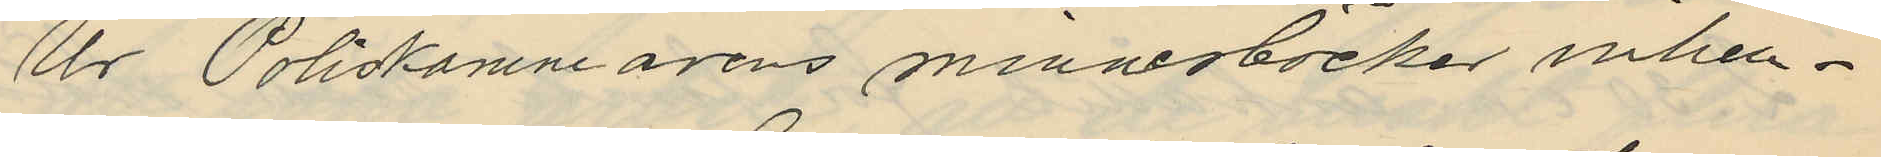Ur Poliskammarens minnesböcker inhem¬
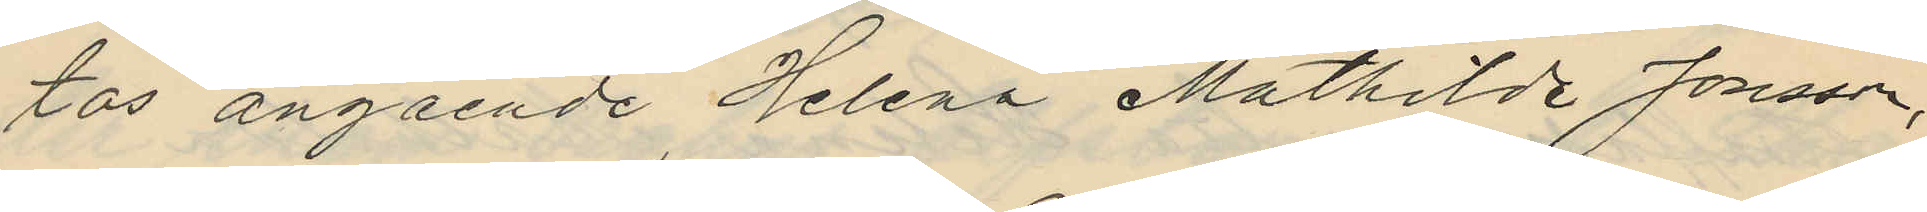tas angående Helena Mathilda Jonsson,
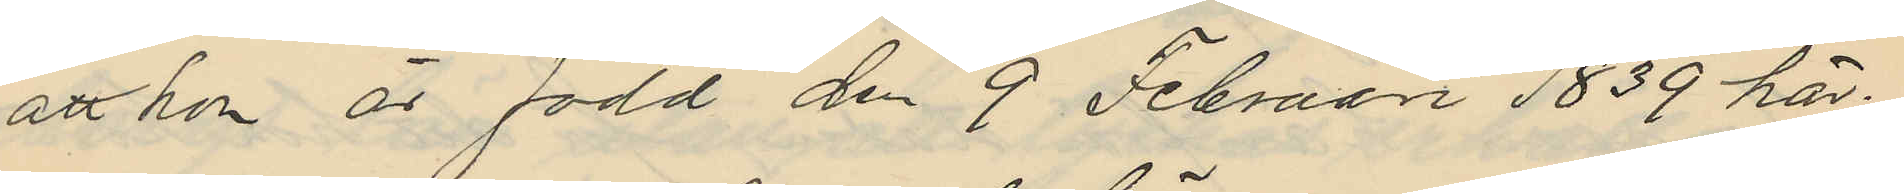att hon är född den 9 Februari 1839 här
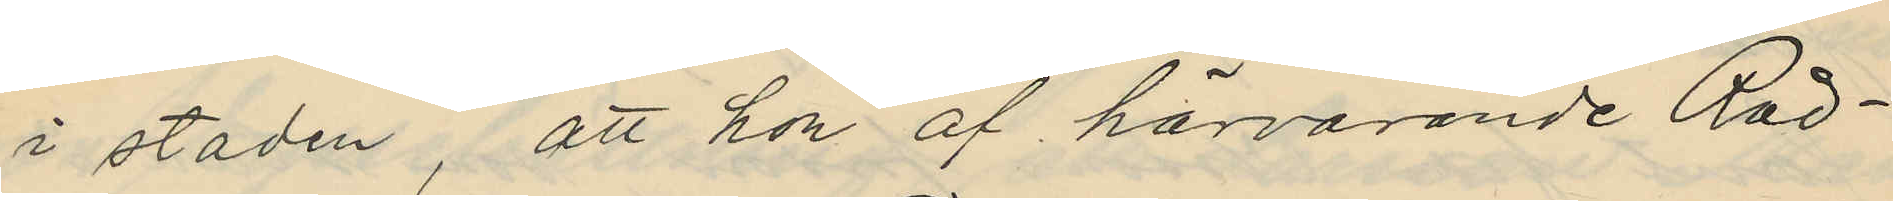i staden, att hon af härvarande Råd¬
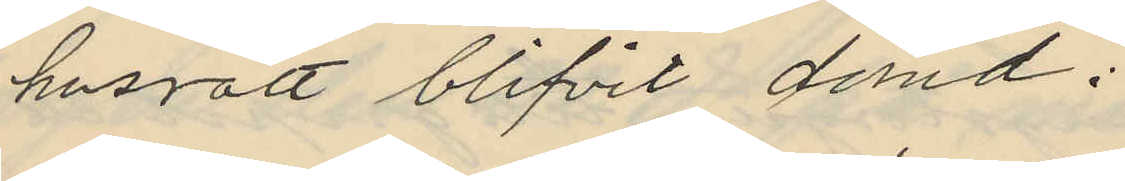husrätt blifvit dömd:
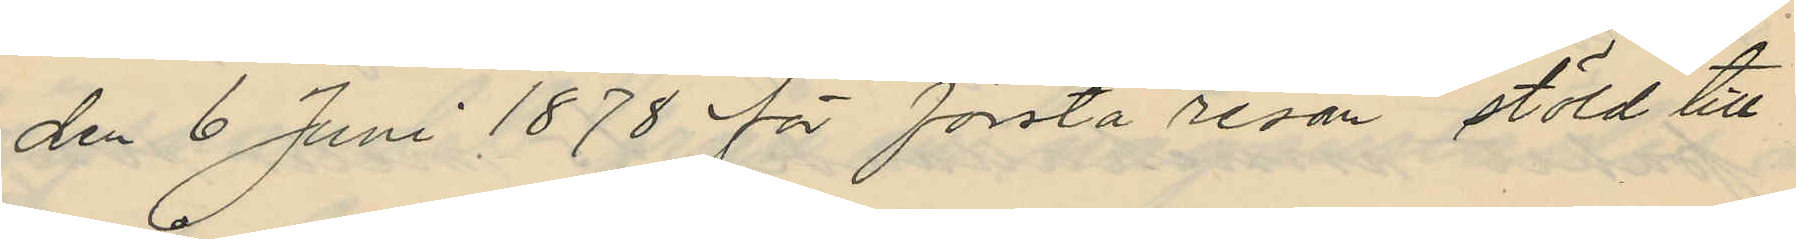den 6 Juni 1878 för första resan stöld till
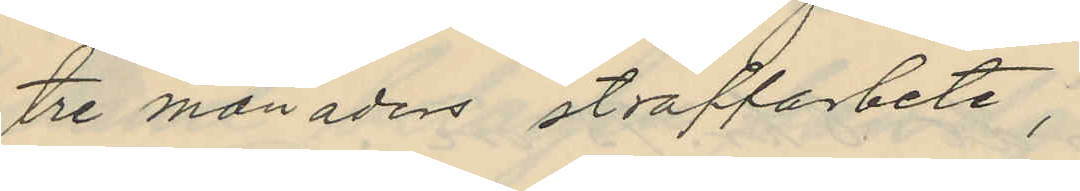tre månaders straffarbete,
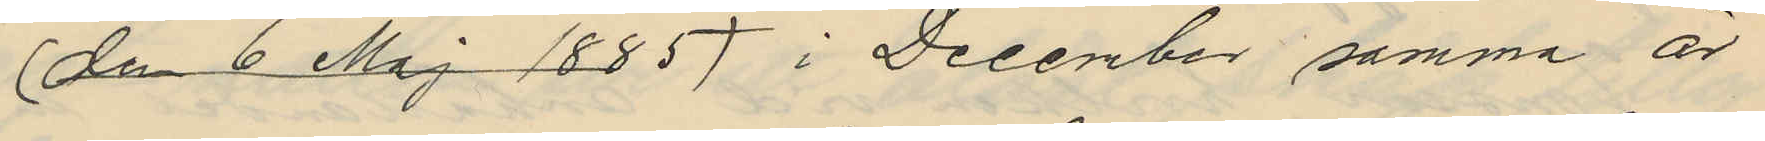(den 6 Maj 1885) i December samma år
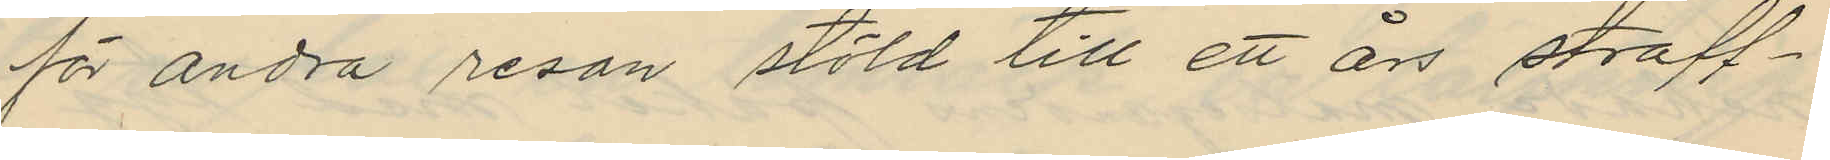för andra resan stöld till ett års straff¬
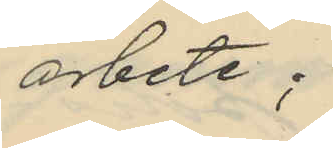arbete;
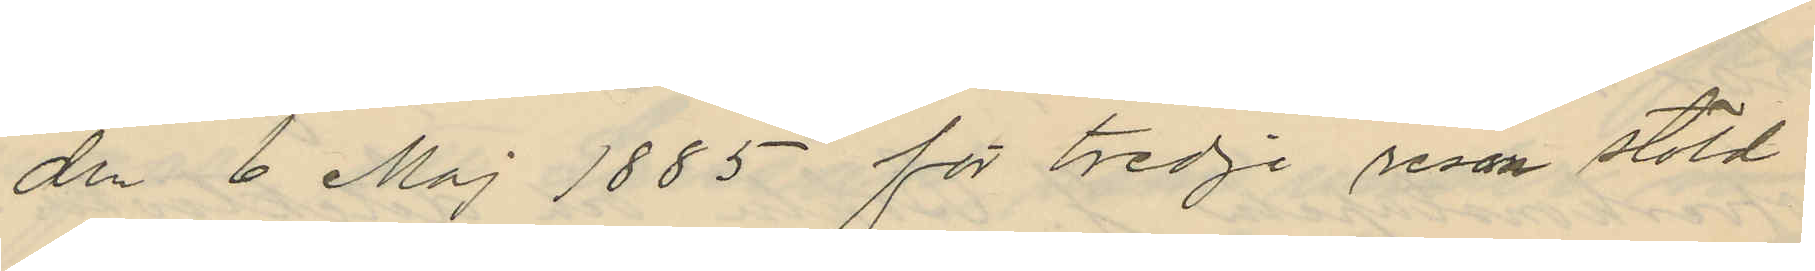den 6 Maj 1885 för tredje resan stöld
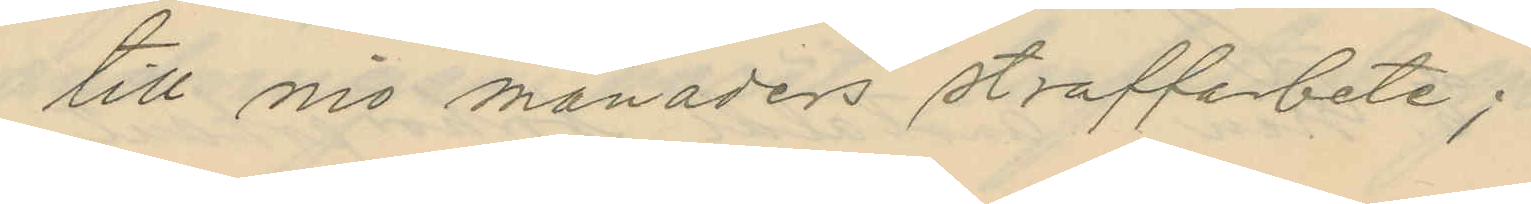till nio månaders straffarbete;
